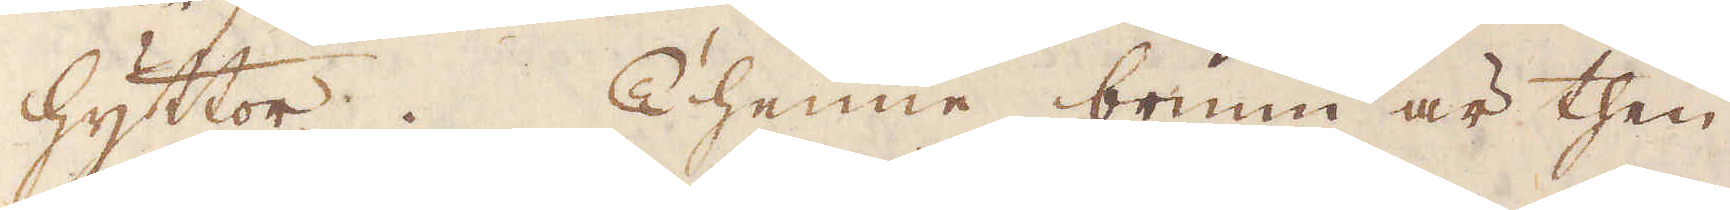hyttor. Thenne brunn är then
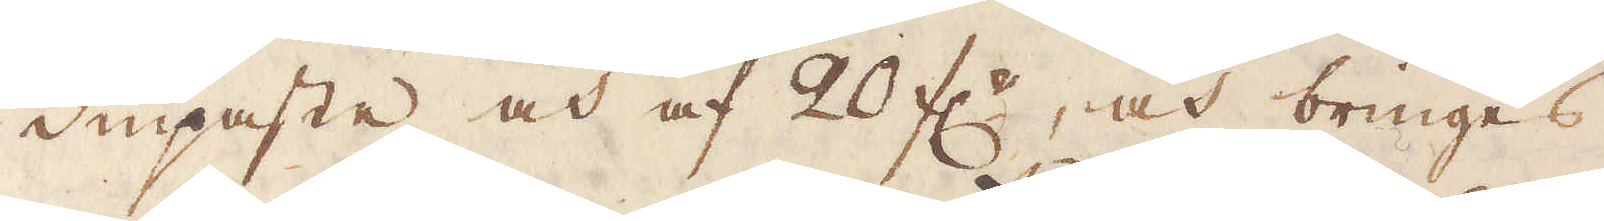diupaste och af 20 f:r, och bringes
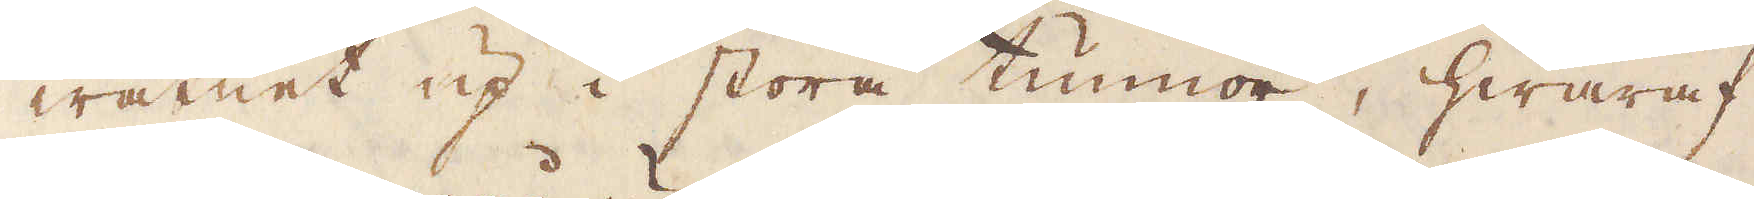watnet up i stora tunnor, hwaraf
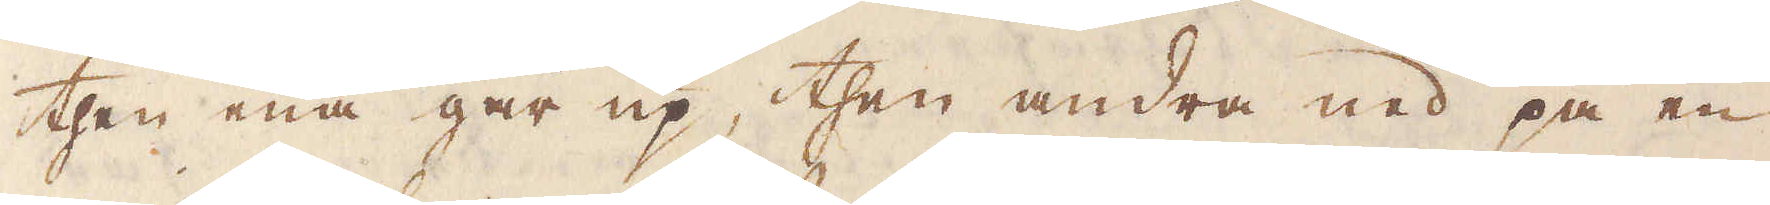then ena går upp, then andra ned på en
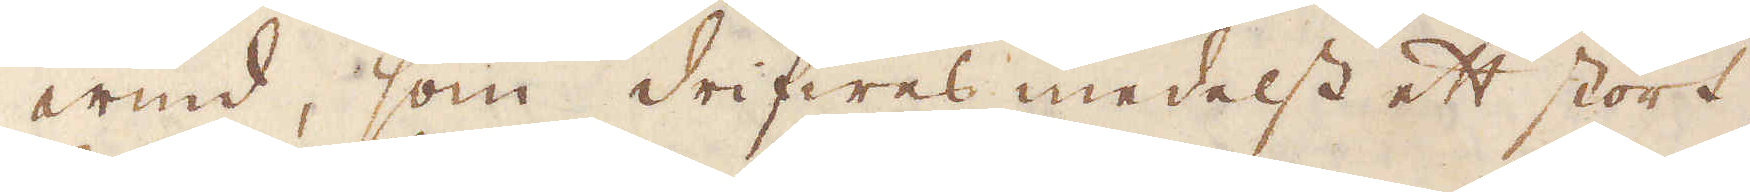wind, som drifwes medelst ett stort
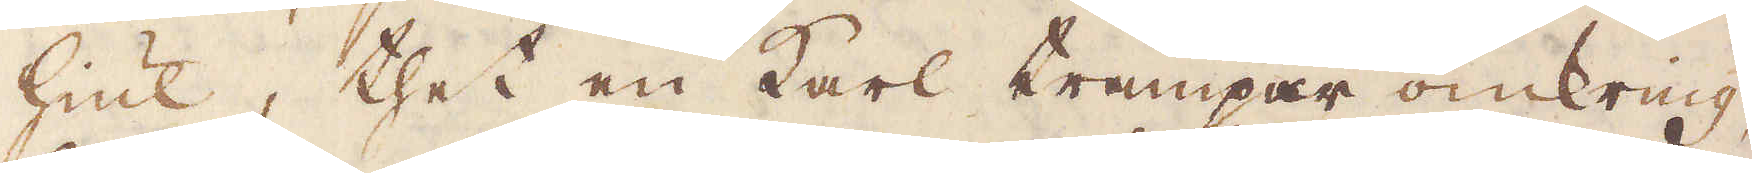hiul, thet en karl trampar omkring,
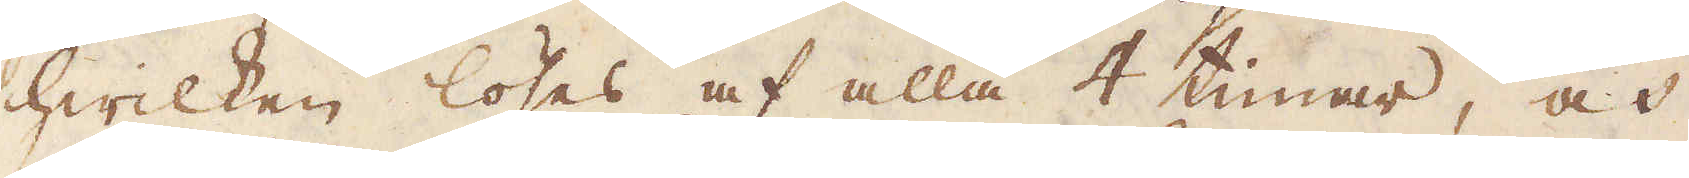hwilken löses af alla 4 timar, och
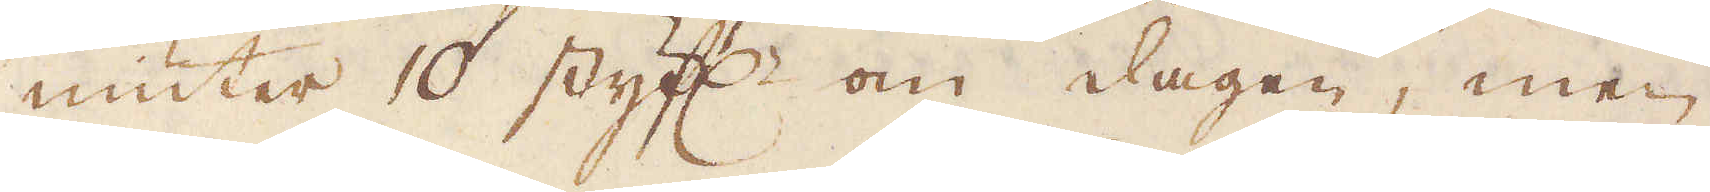niuter 10 styf:r om dagen, men
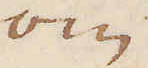om
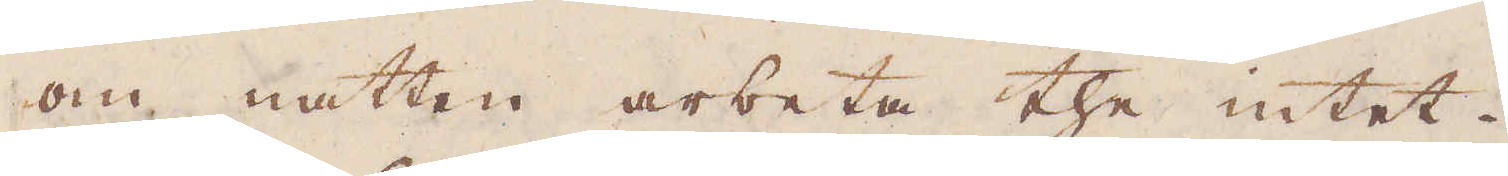om natten arbeta the intet.
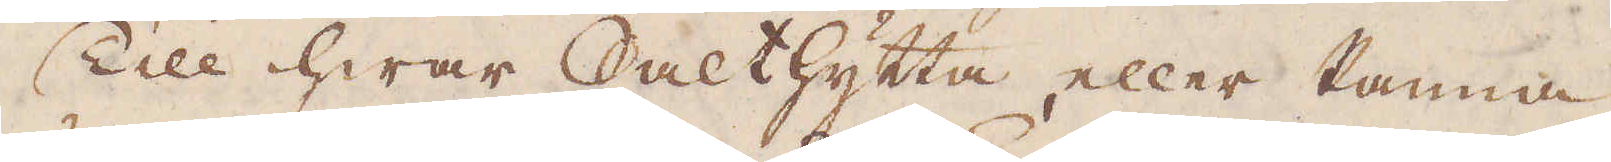Till hwar Salthytta, eller Panna
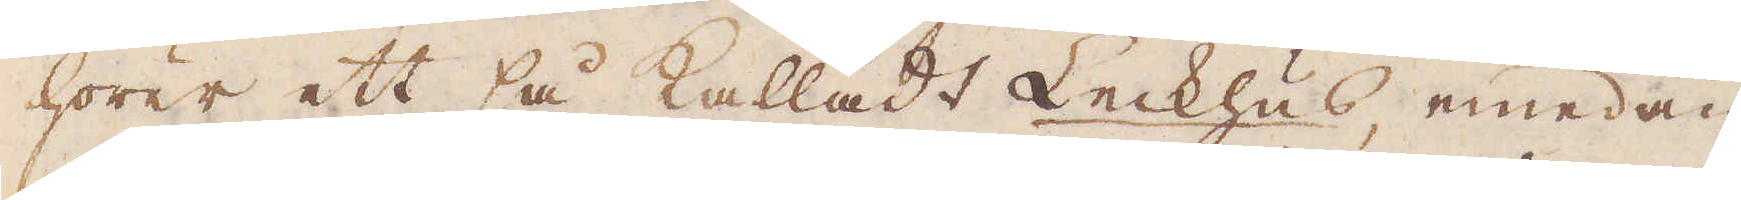hörer ett så kalladt Leckhus, emedan
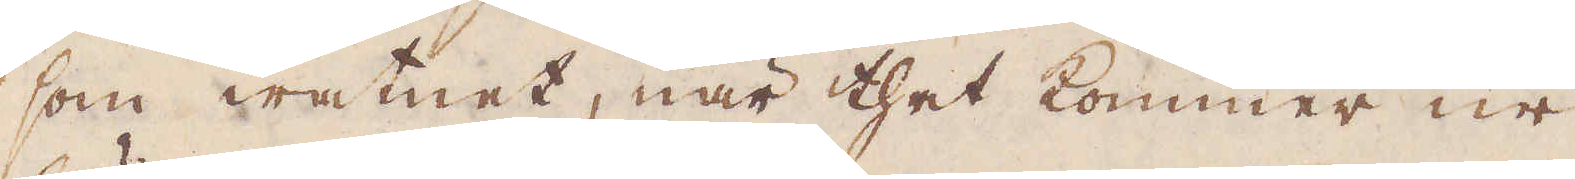som watnet, när thet kommer ur
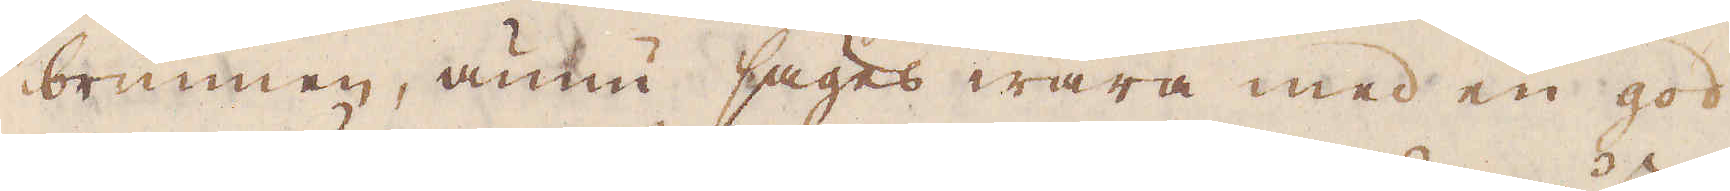brunnen, ännu säges wara med en god
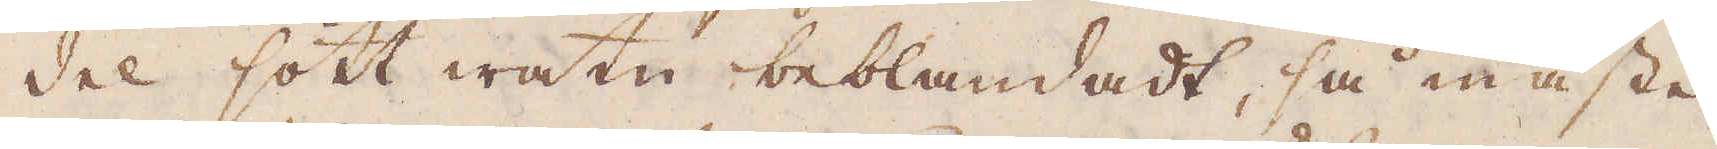del sött watn beblandadt, så måste
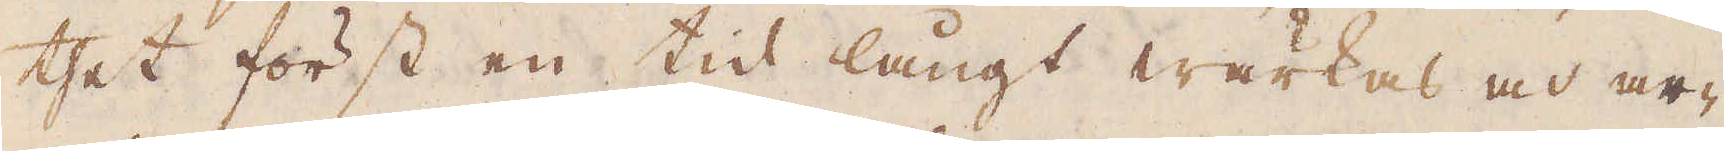thet först en tid långt wärkas och ar-
